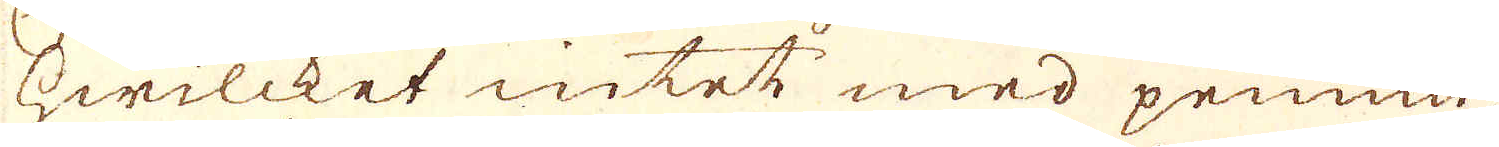hwilcket intet med pennin-
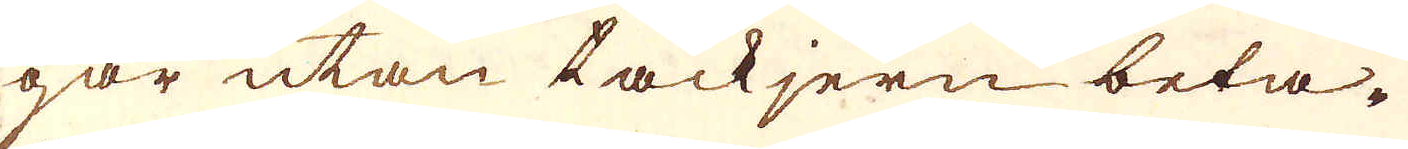gar utan tackjern beta-
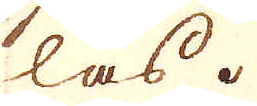las.
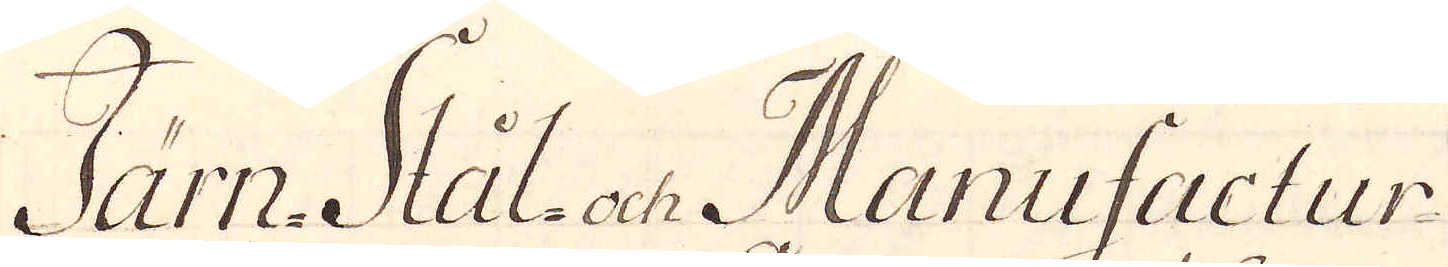Järn- Stål- och Manufactur
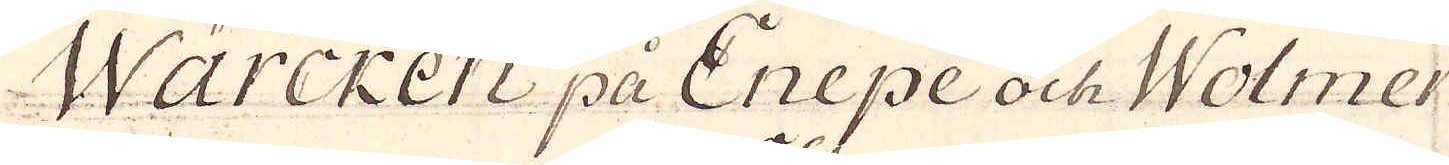Wärcken på Enepe och Wolmer
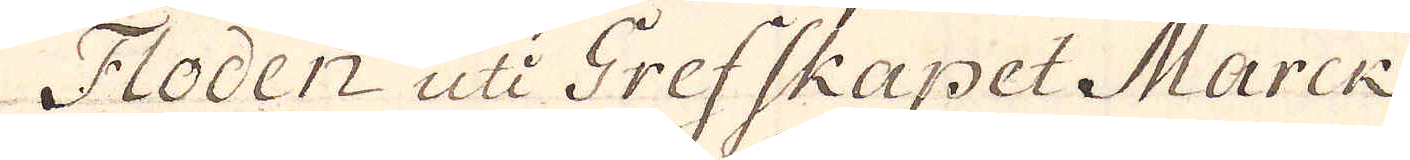Floden uti Grefskapet Marck
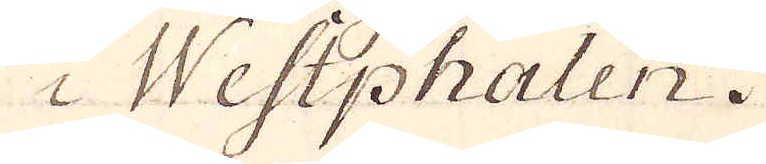i Westphalen.
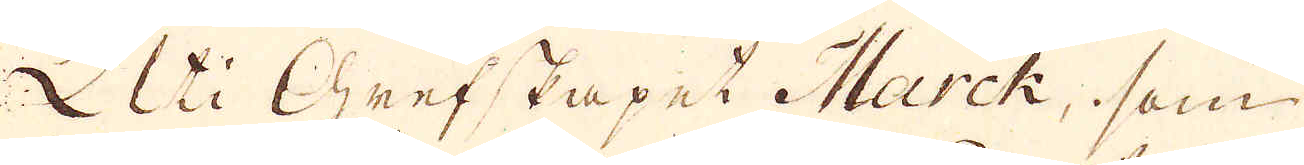Uti Grefskapet Marck, som
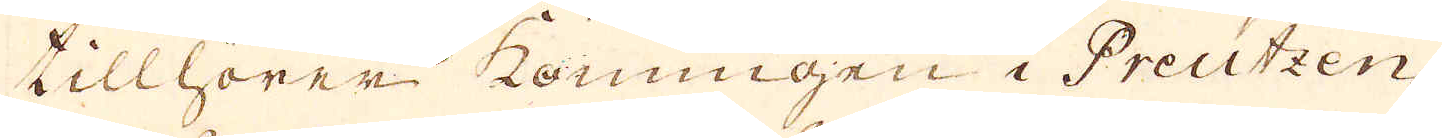tillhörer konungen i Preutzen
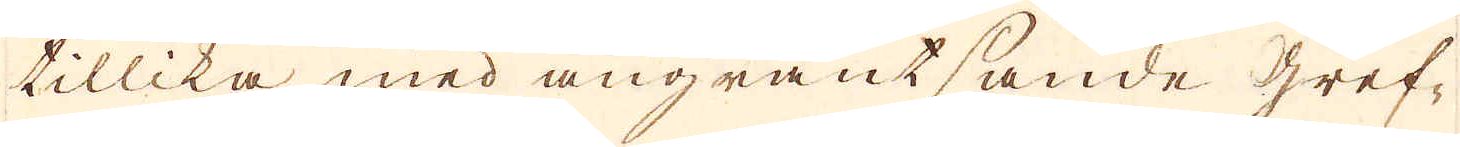tillika med angräntsande Gref-
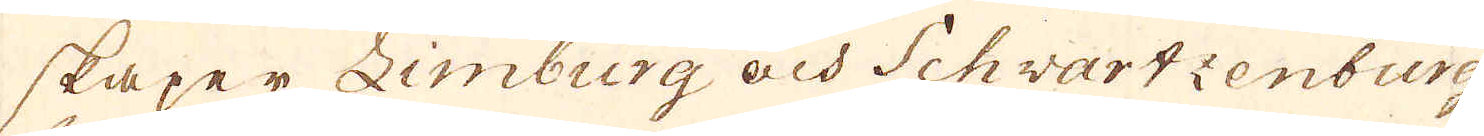skaper Limburg och Schwartzenburg
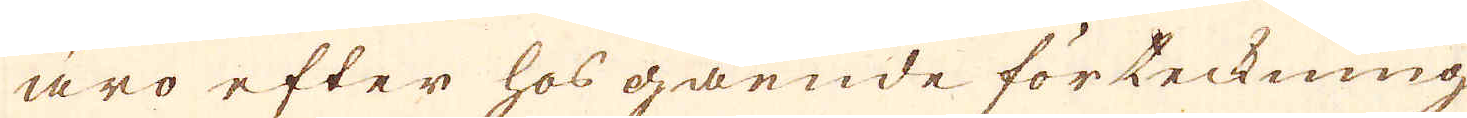äro efter hos gående förteckning
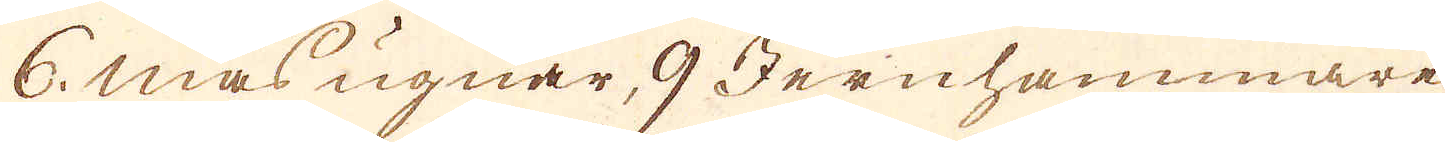6. masugnar, 9 Jernhammare
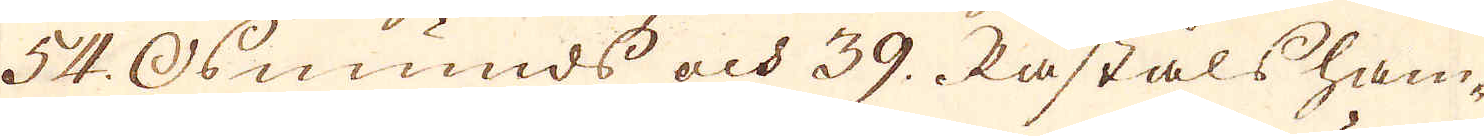54. Osmunds och 39. Råståls ham-
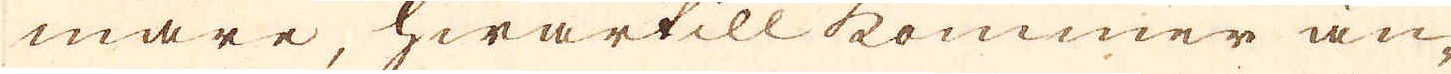mare, hwartill kommer än-
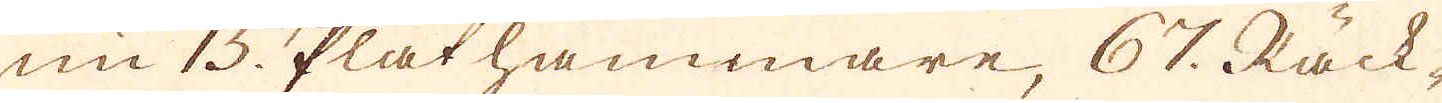nu 15. Plåthammare, 67. Räck-
